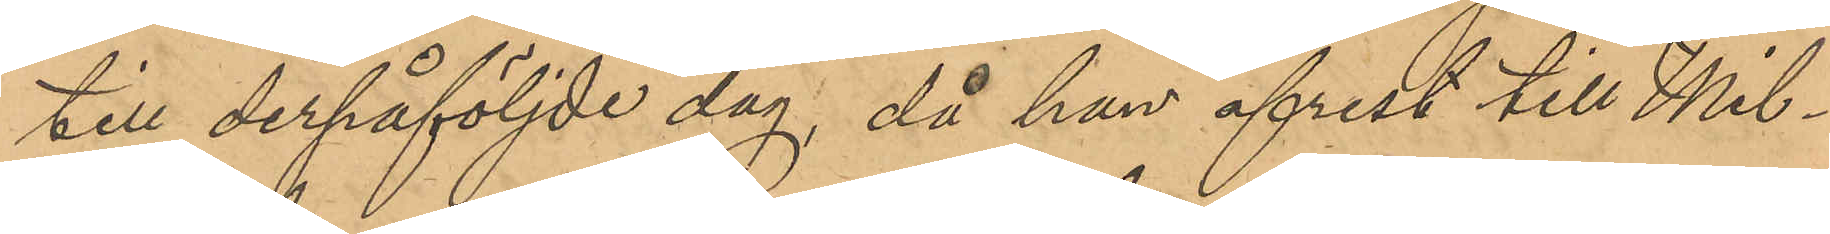till derpåföljde dag, då han afrest till Mil¬
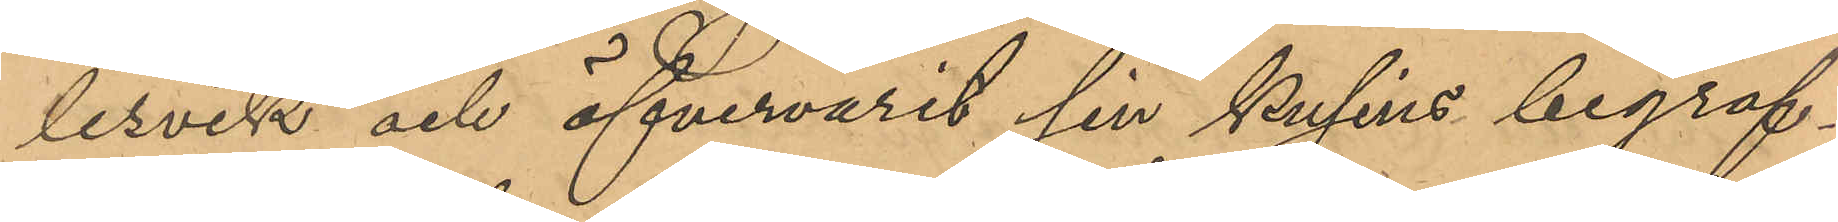lesvik och öfvervarit sin kusins begraf¬
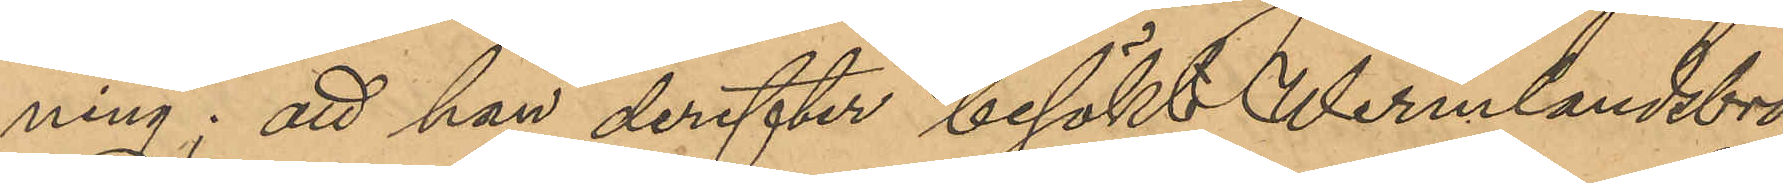ning; att han derefter besökt Wermlandsbro
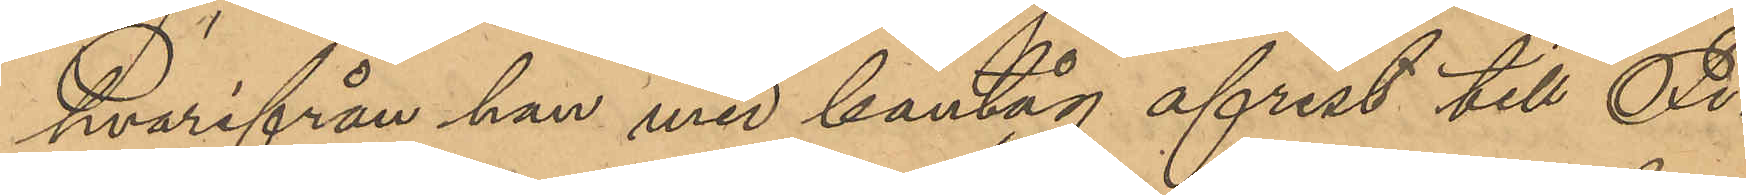hvarifrån han med bantåg afrest till Fi¬
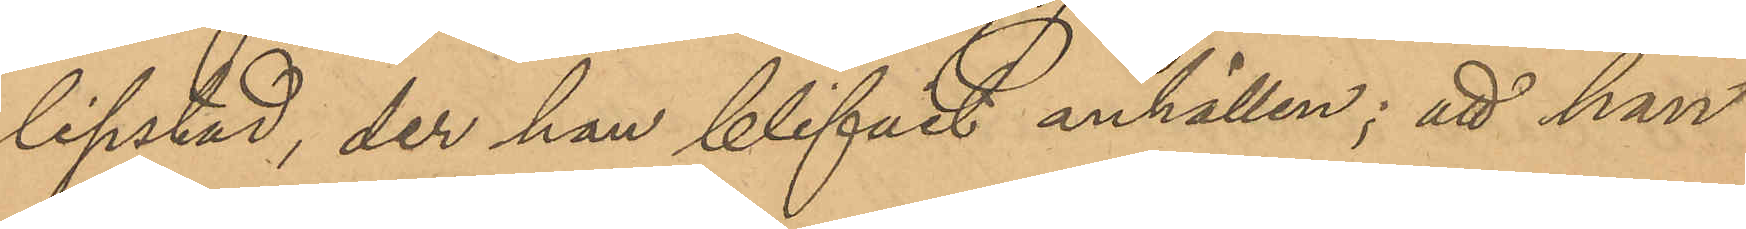lipstad, der han blifvit anhållen; att han
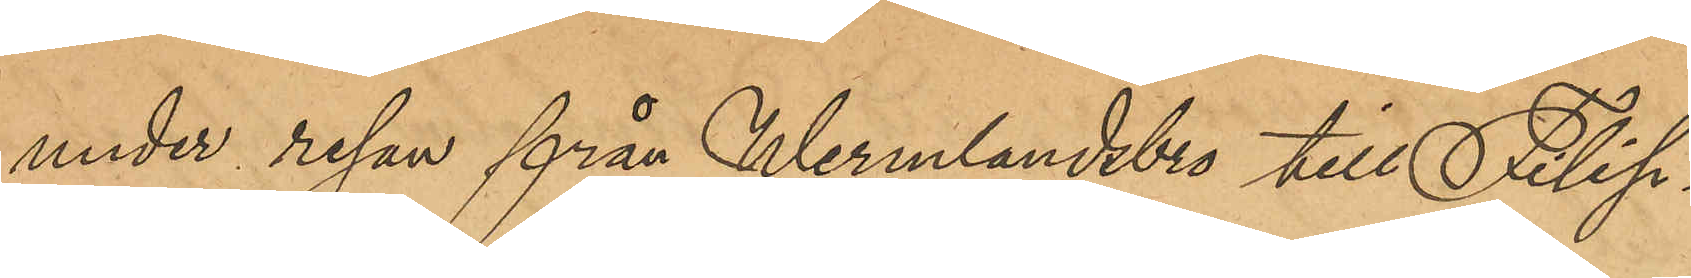under resan från Wermlandsbro till Filip¬
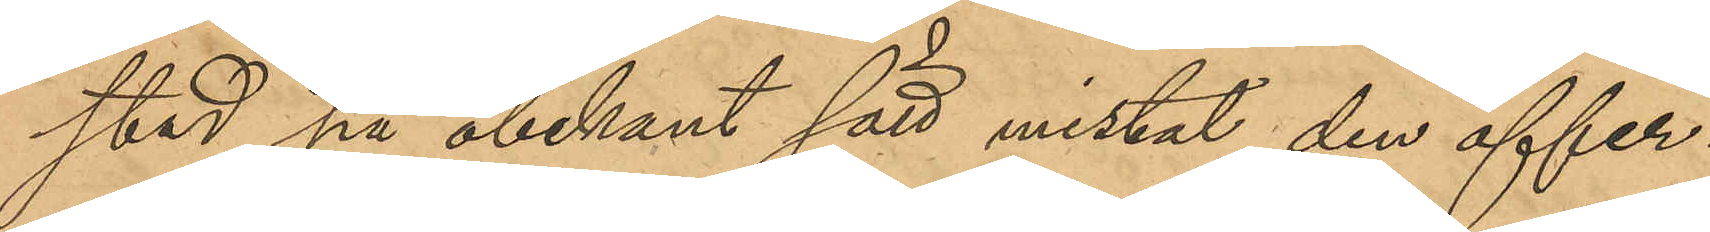stad på obekant sätt mistat den öfver¬
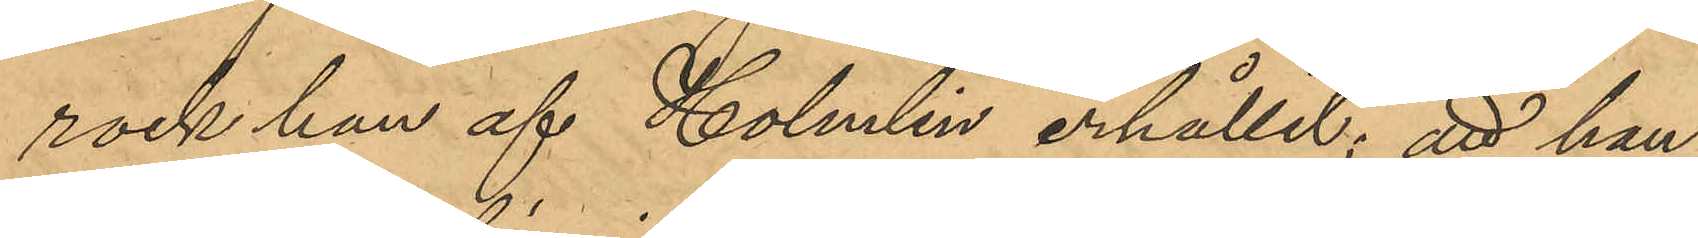rock han af Holmlin erhållit; att han,
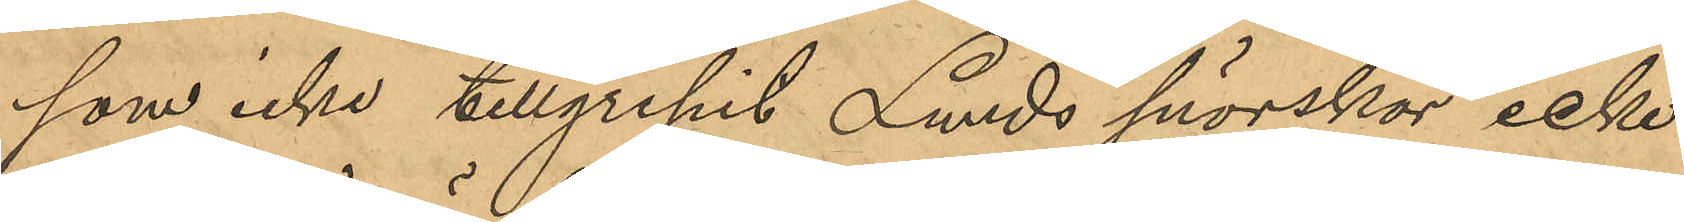som icke tillgripit Lunds snörskor icke
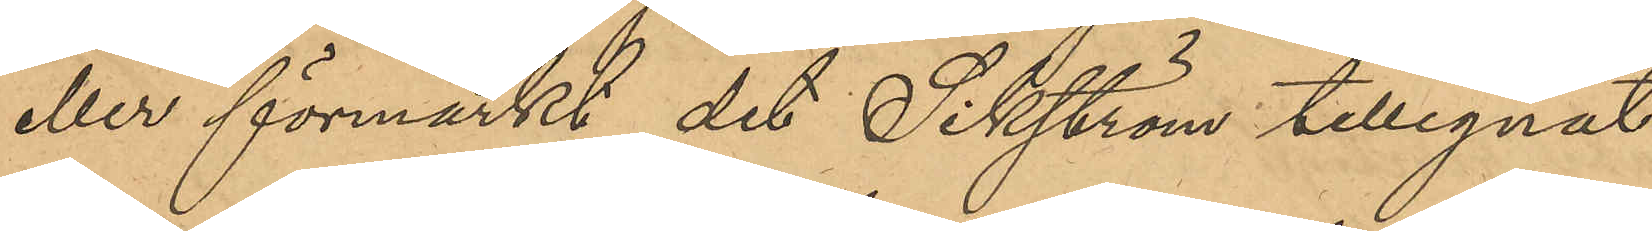eller förmärkt det Sikström tillegnat
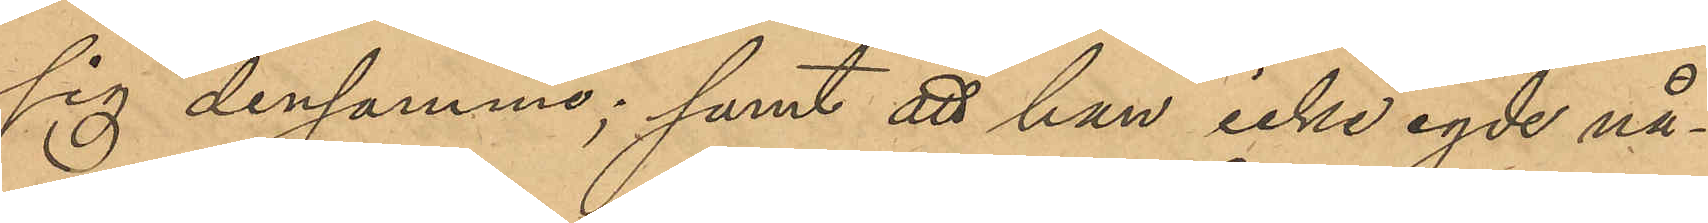sig densamme; samt att han icke egde nå¬
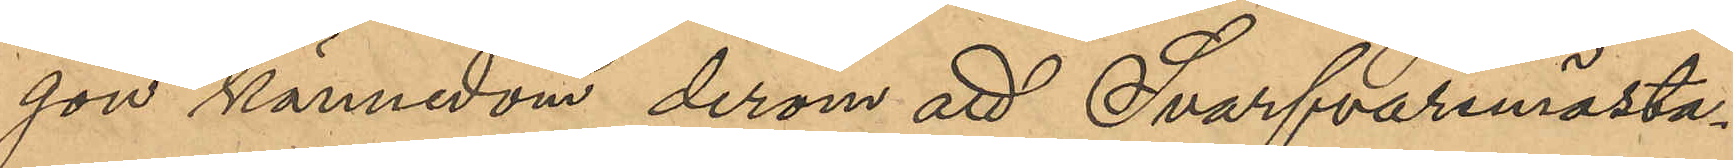gon kännedom derom att Svarfvaremästa¬
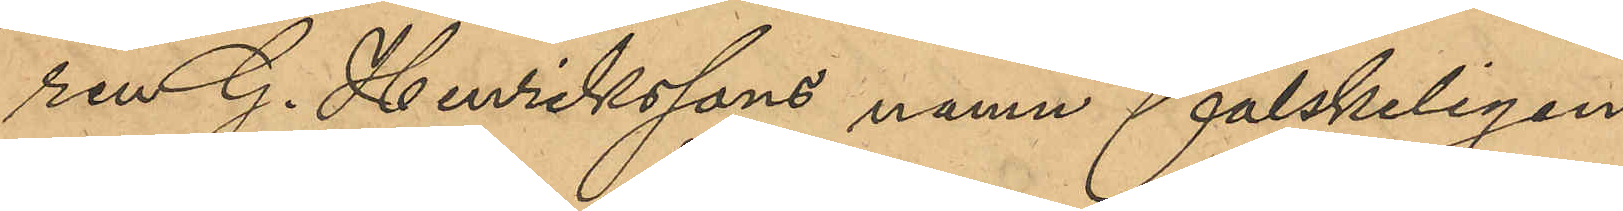ren G. Henrikssons namn falskeligen
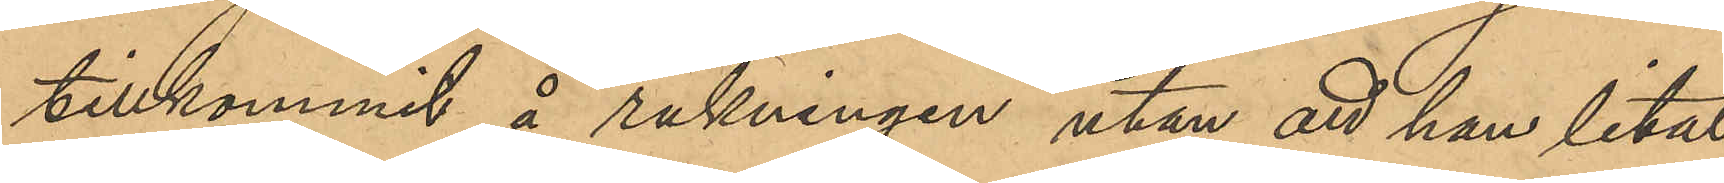tillkommit å räkningen utan att han litat
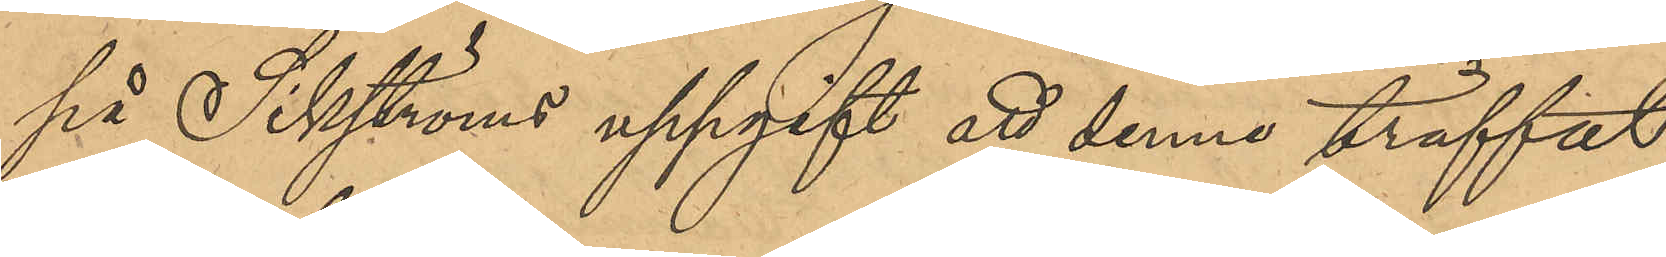på Sikströms uppgift att denne träffat 
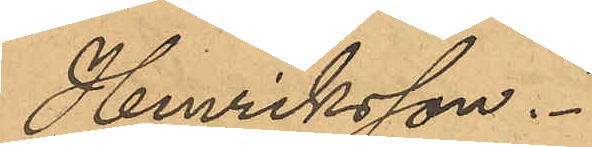Henriksson.
